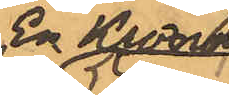En Krona
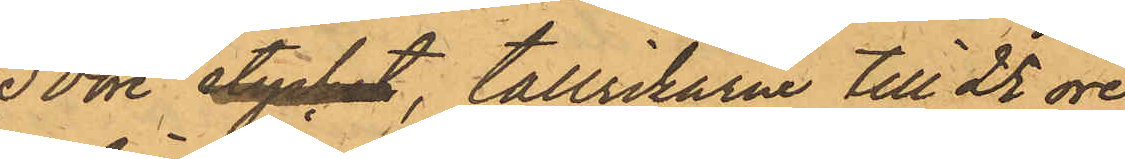50 öre stycket, tallrikarne till 25 öre
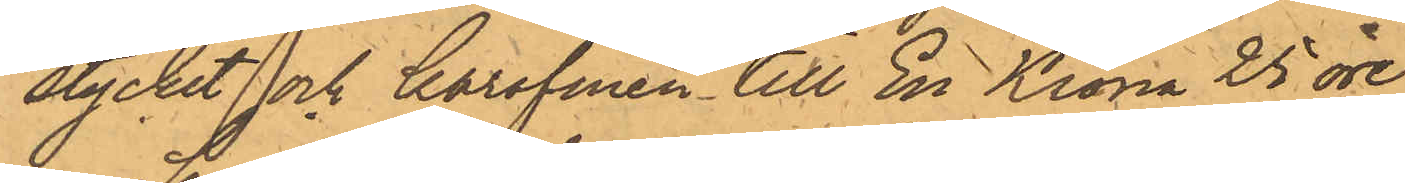stycket och karafinen till En Krona 25 öre.
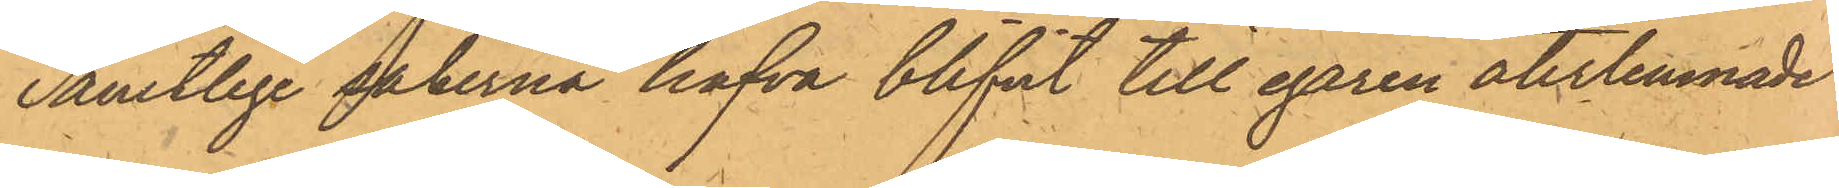Samtlige sakerna hafva blifvit till egaren återlemnade.
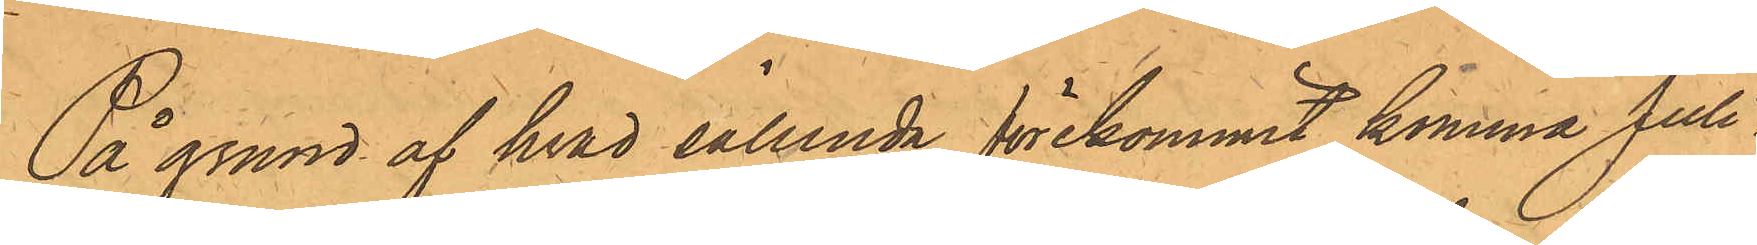På grund af hvad sålunda förekommit, komma Juli¬
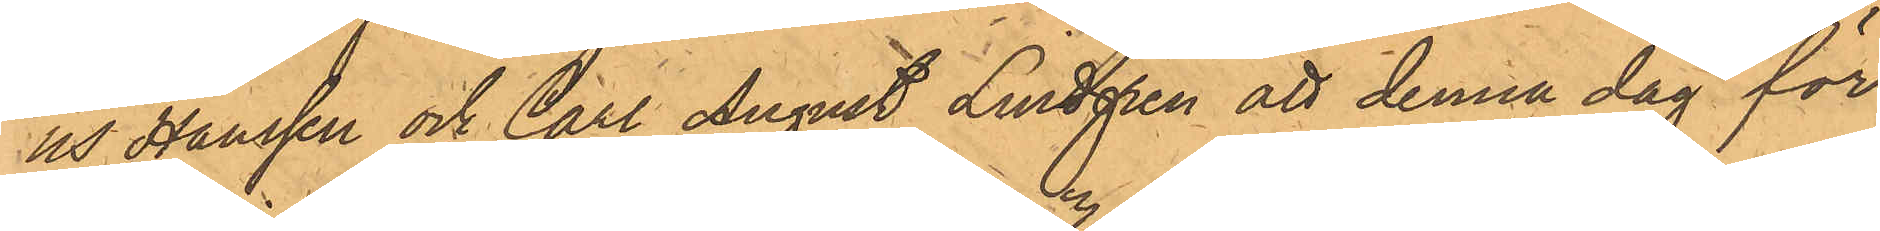us Hanssen och Carl August Lindgren att denna dag för
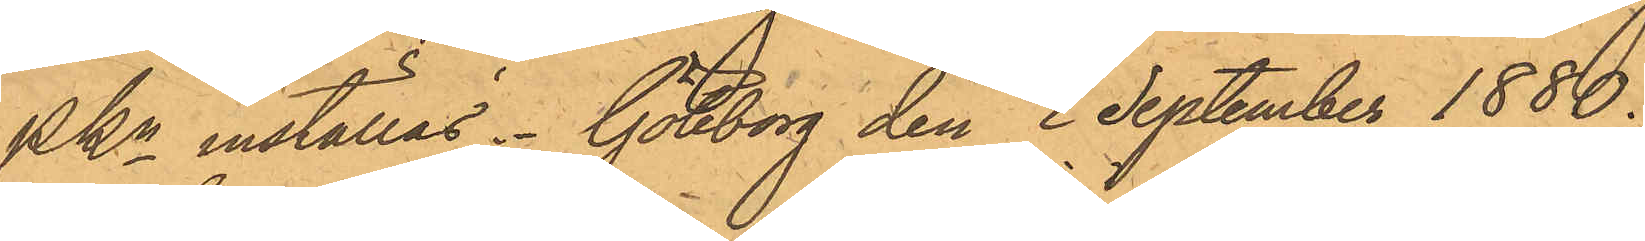PKn inställas. Göteborg den 3 September 1880.
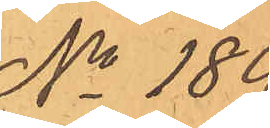No 189.
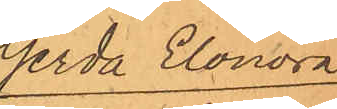Gerda Elonora
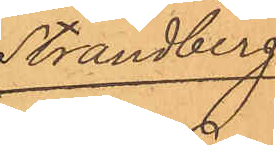Strandberg.
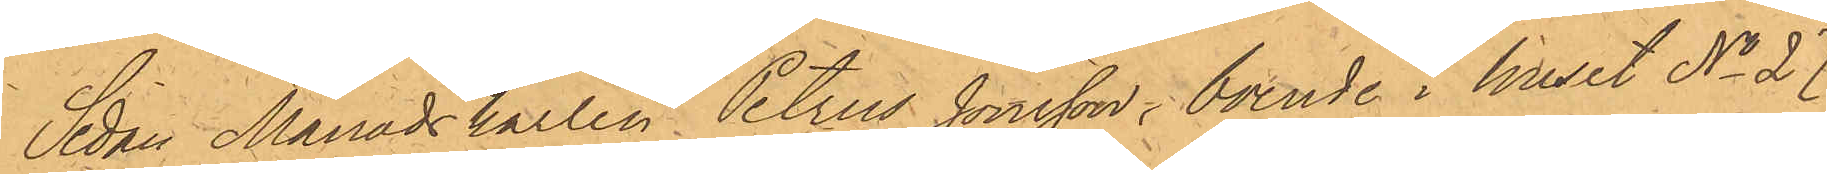Sedan Månadskarlen Petrus Jönsson, boende i huset No 27
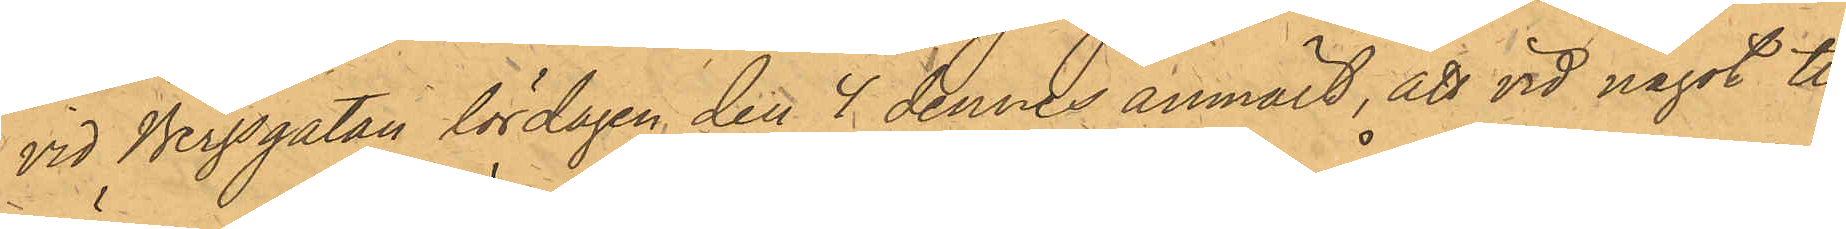vid Bergsgatan lördagen den 4 dennes anmält, att vid något till¬
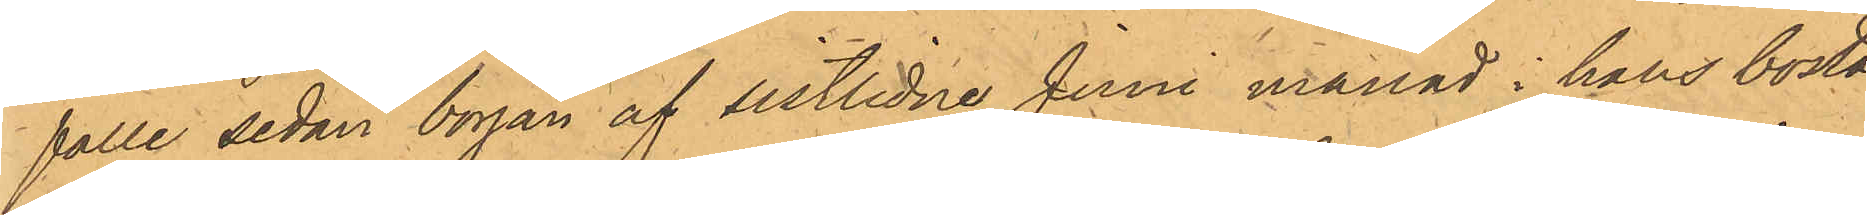fälle sedan början af sistlidne Juni månad i hans bostad
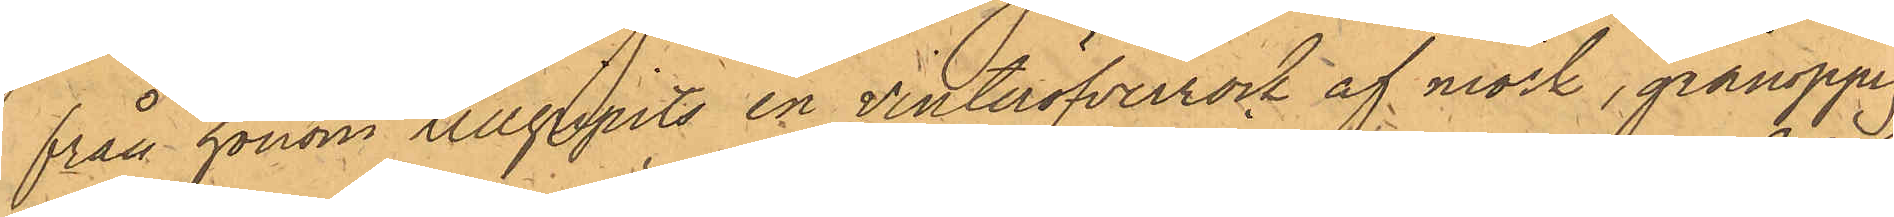från honom tillgripits en vinteröfverrock af mörk, grånoppig
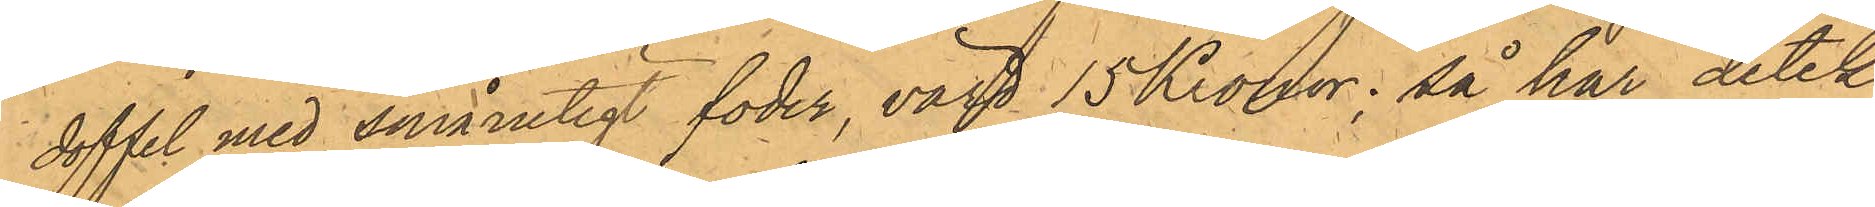doffel med smårutigt foder, värd 15 Kronor; så har detek¬
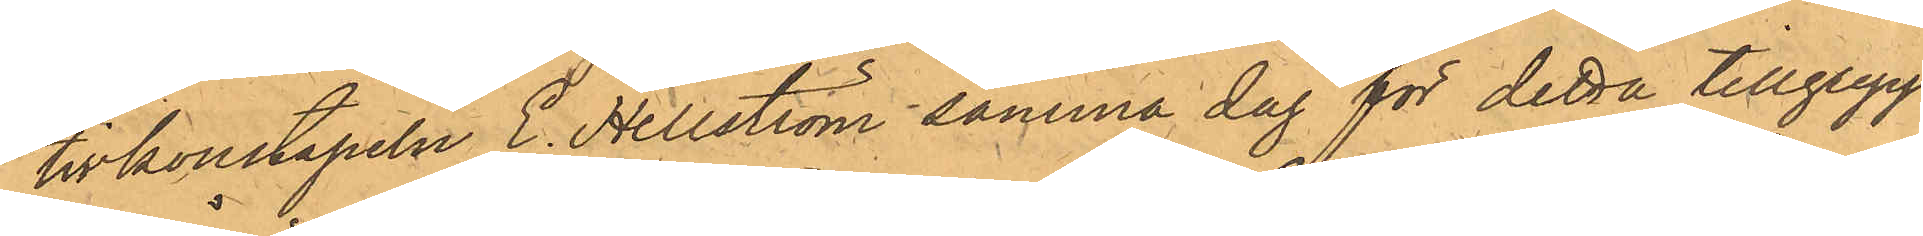tivkonstapeln E. Hellström samma dag för detta tillgrepp
